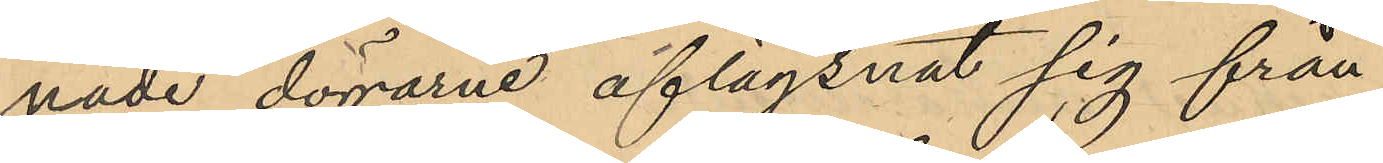nade dörrarne aflägsnat sig från
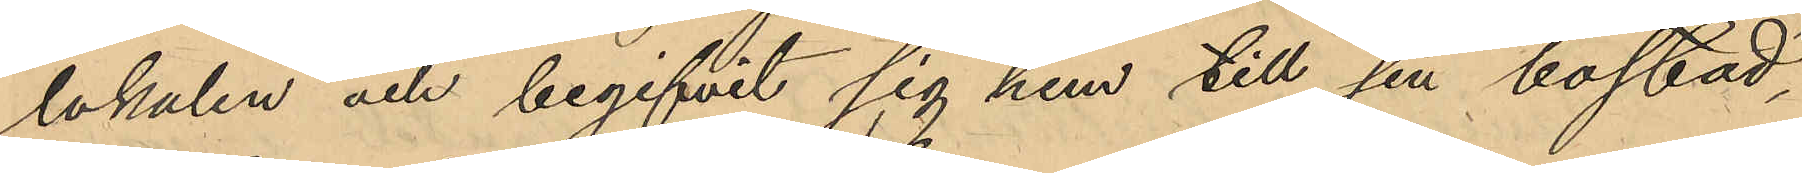lokalen och begifvit sig hem till sin bostad,
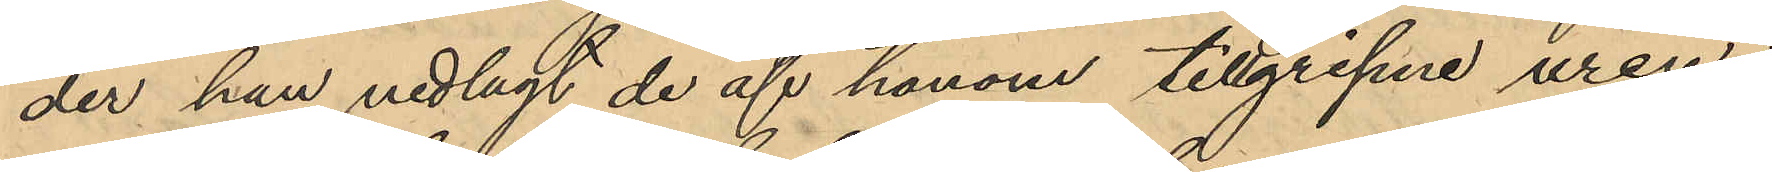der han nedlagt de af honom tillgripne uren i
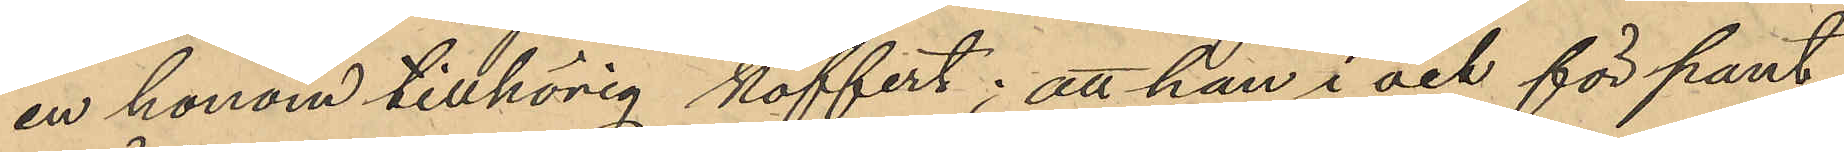en honom tillhörig koffert; att han i och för pant¬
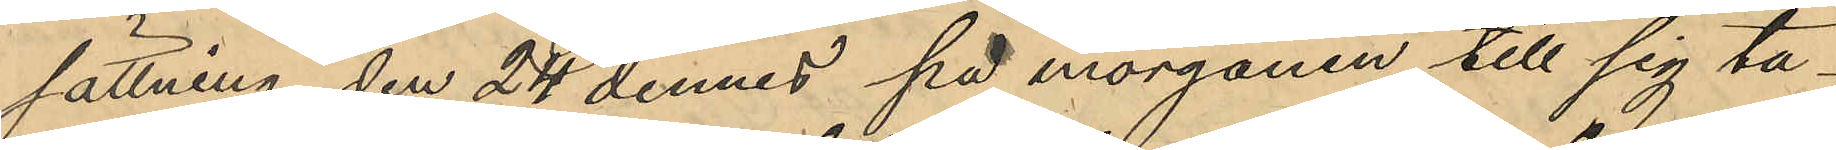sättning, den 24 dennes på morgonen till sig ta¬
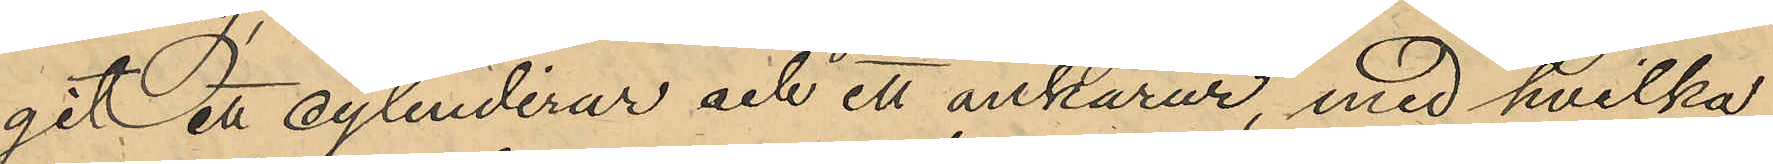git ett cylinderur och ett ankarur, med hvilka
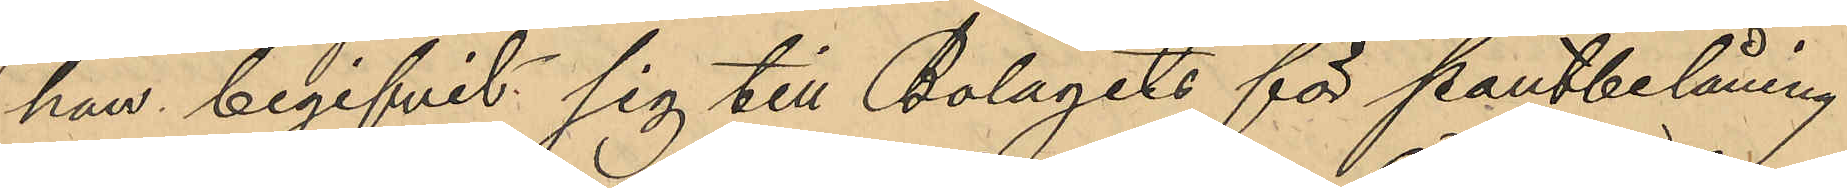han begifvit sig till Bolagets för pantbelåning
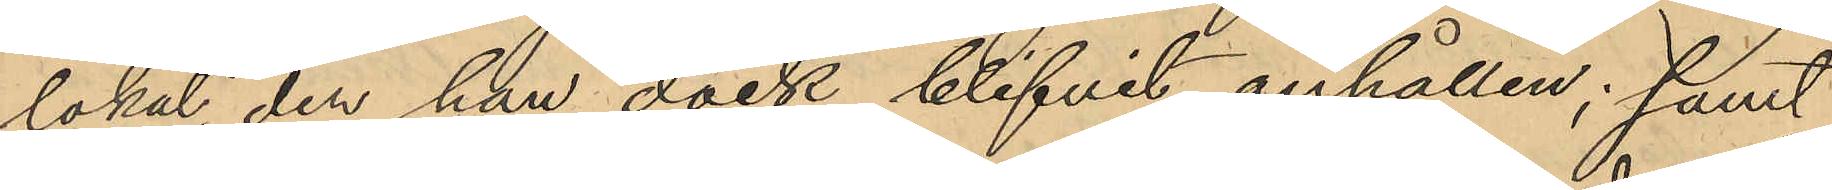lokal, der han dock blifvit anhållen; samt
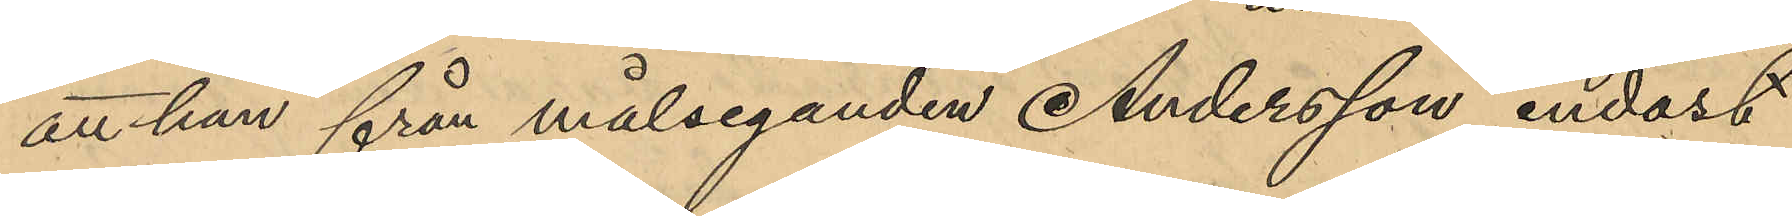att han från målseganden Andersson endast
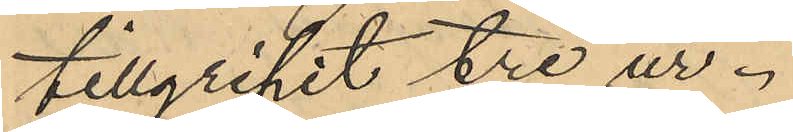tillgripit tre ur.
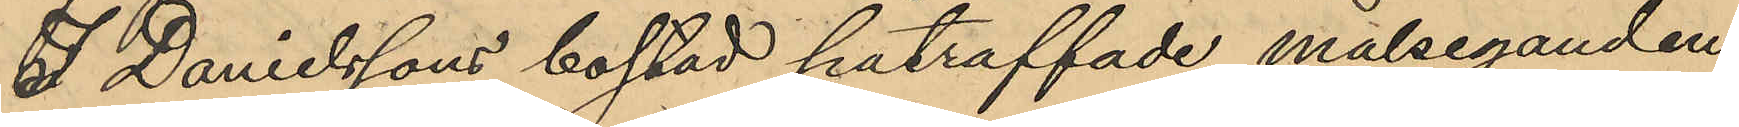I Danielssons bostad påträffade målseganden
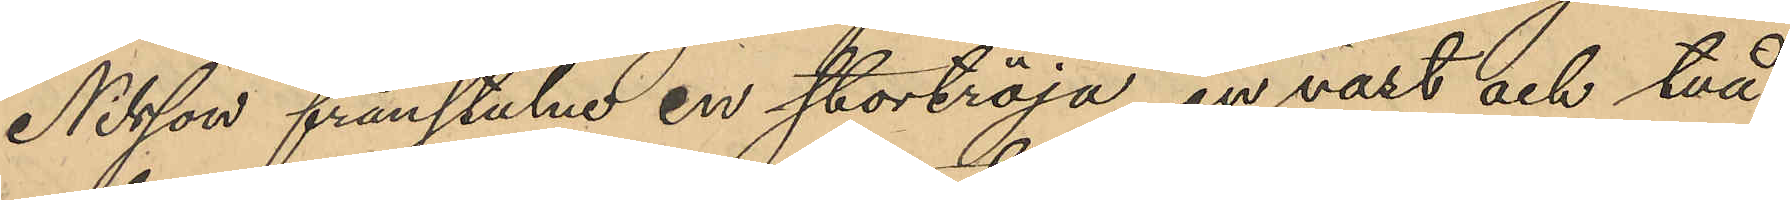Nilsson frånstulne en stortröja, en väst och två
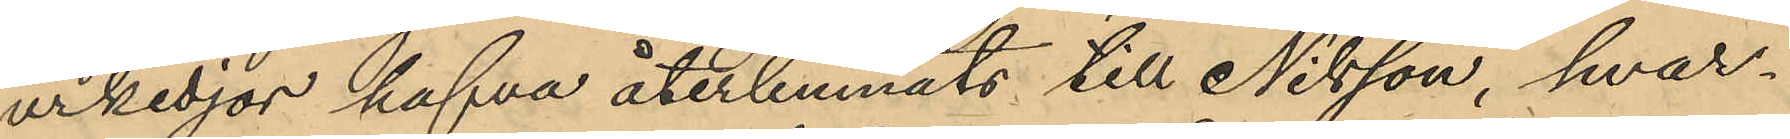urkedjor hafva återlemnats till Nilsson, hvar¬
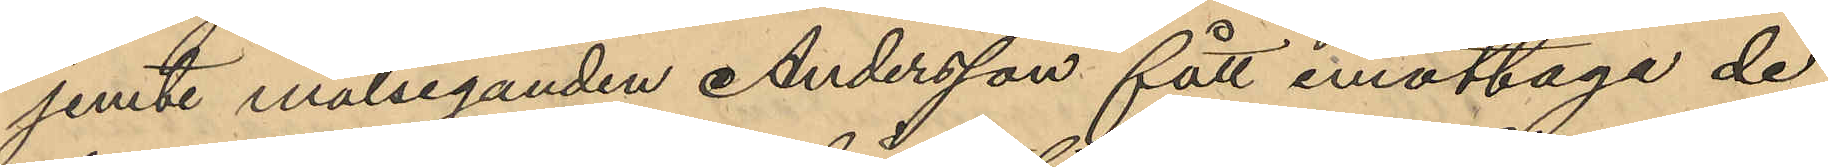jemte målseganden Andersson fått emottage de
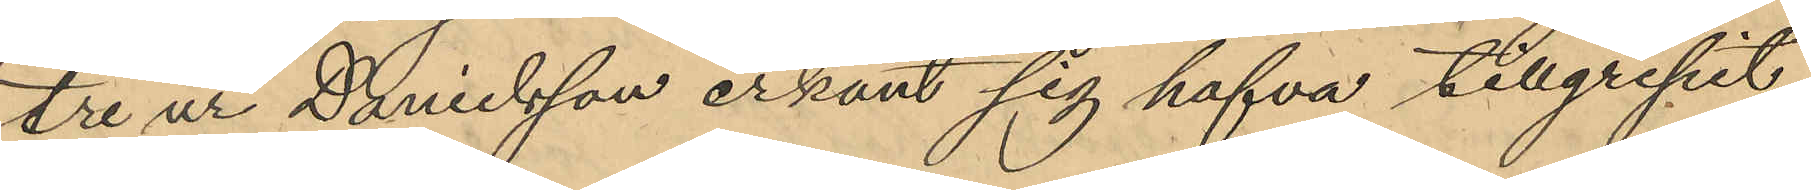tre ur Danielsson erkänt sig hafva tillgripit
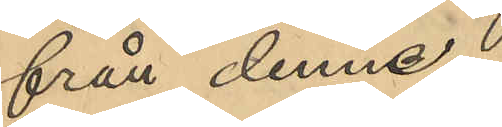från denne.
